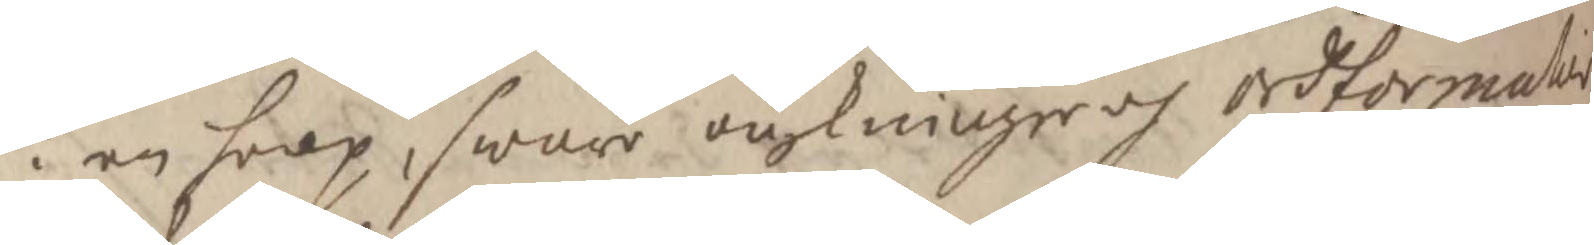i en hoop, swåre värkninger och ordformati
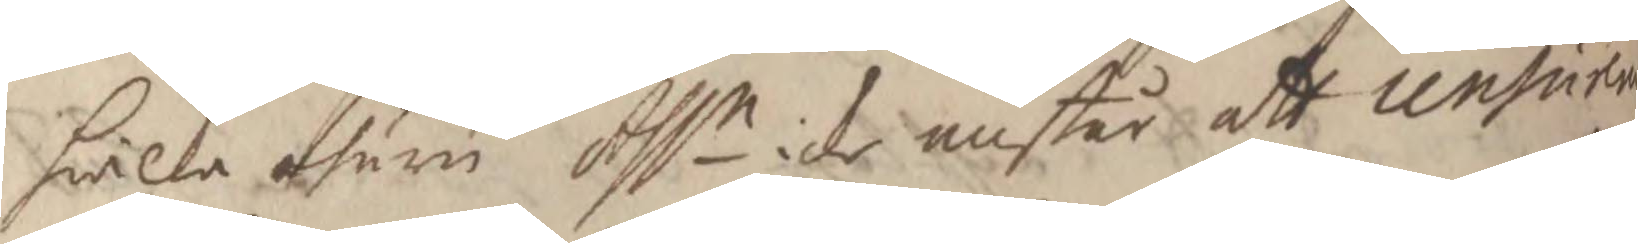hwilka ehuru Assn icke anstår att ursä
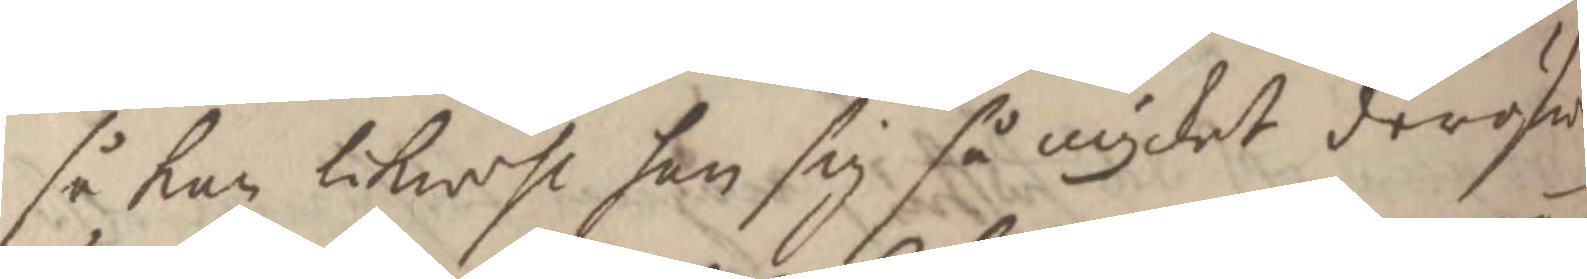så kan likwehl han sig så mycket deröfwe
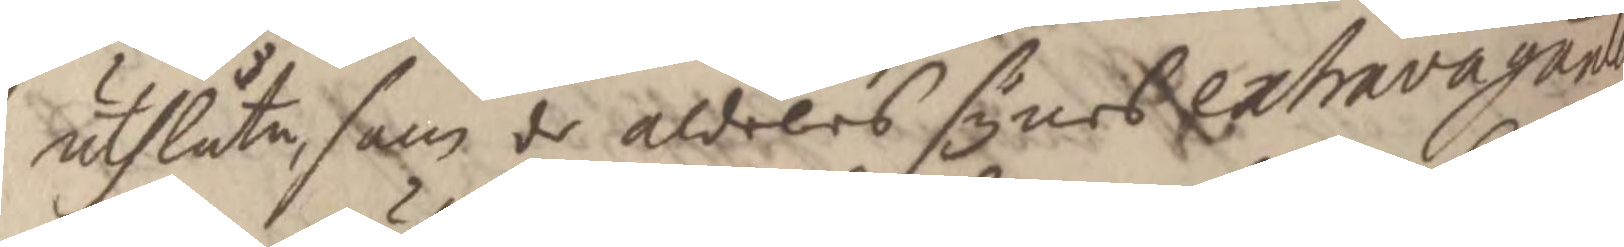uthlåta, som de aldeles synes extravagante
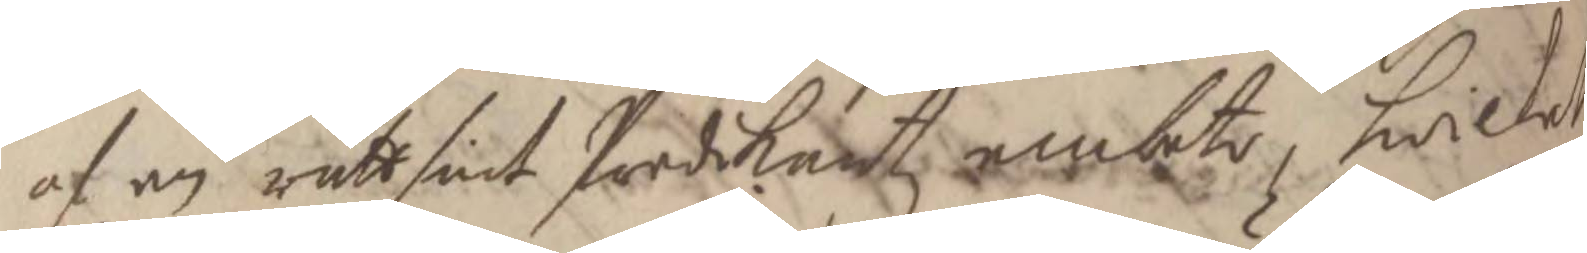af en rättsint Predikantz embete, hwilket
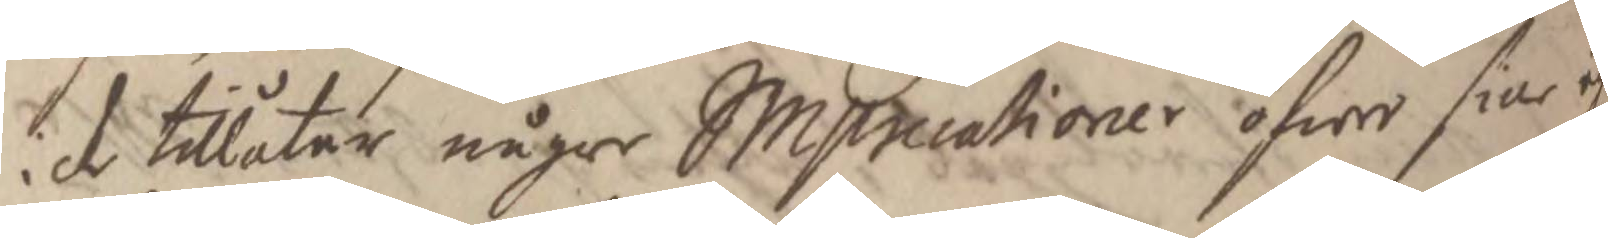icke tillåter någre Simplicationer öfwer sine eg
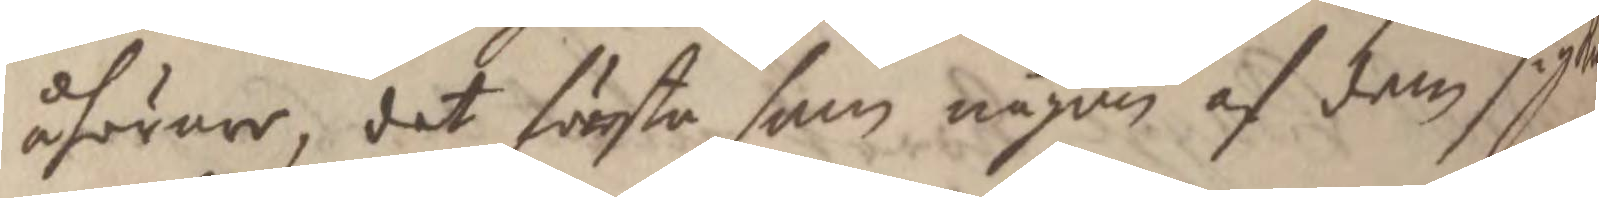åhörare, det första som någon af dem sig ku¬
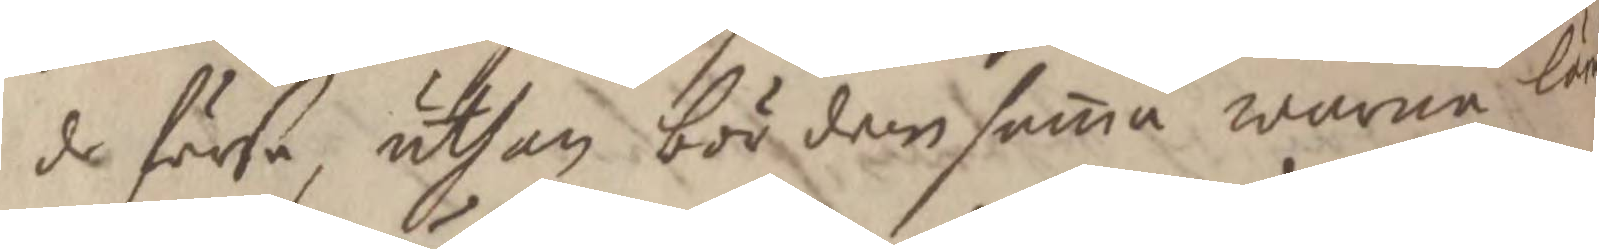de förse, uthan bör densamma warna lär
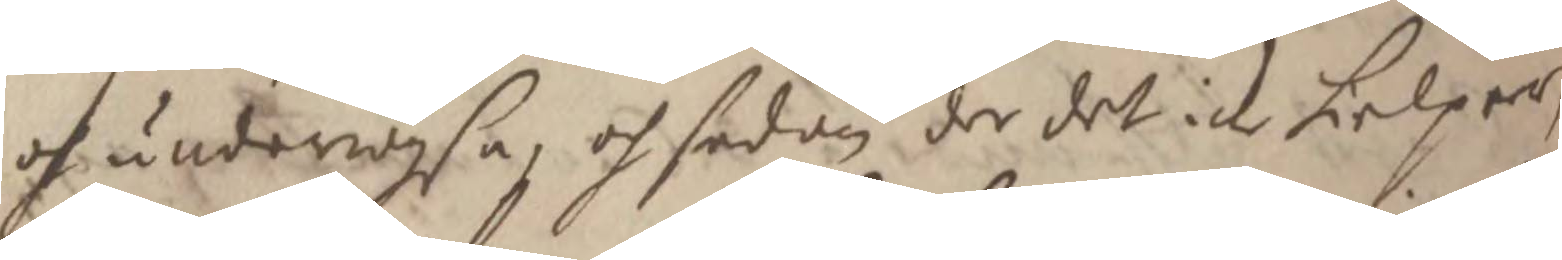och underwihsa, och sedan der det icke hielper,
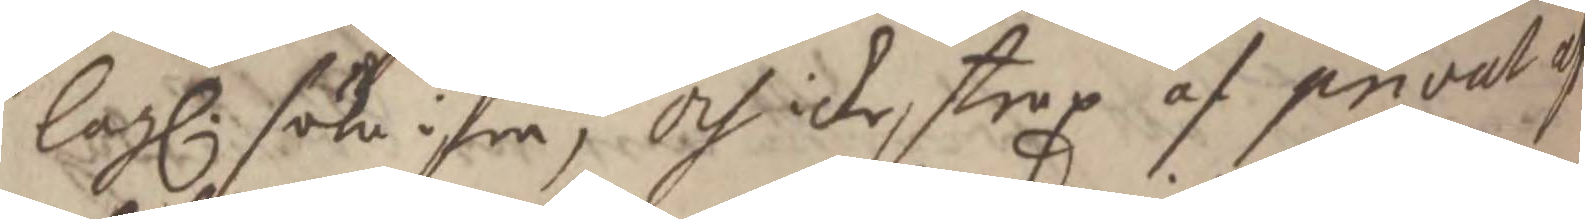lag. söka ifra, och icke strax af privat ah
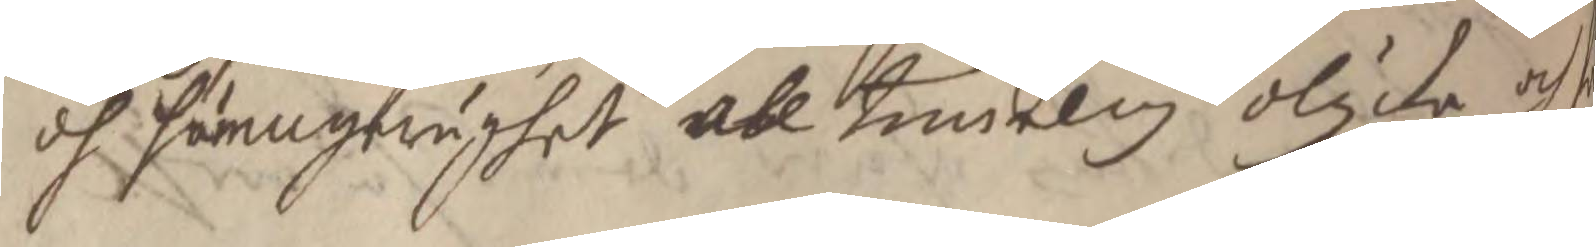och hämngerighet all traselig olycka och fö¬
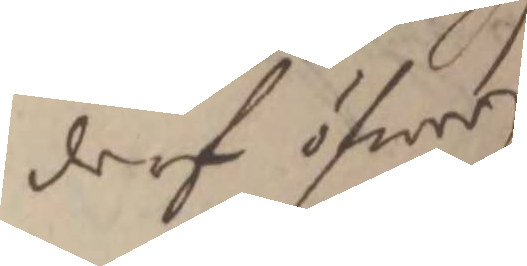derf öfwer
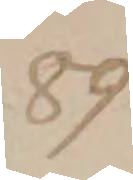89
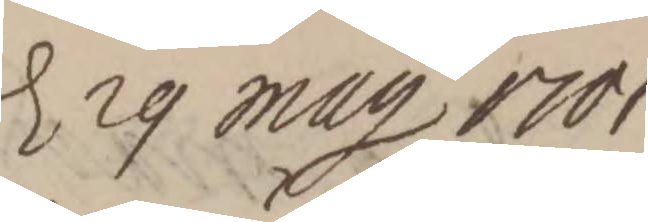d. 29 May 1701
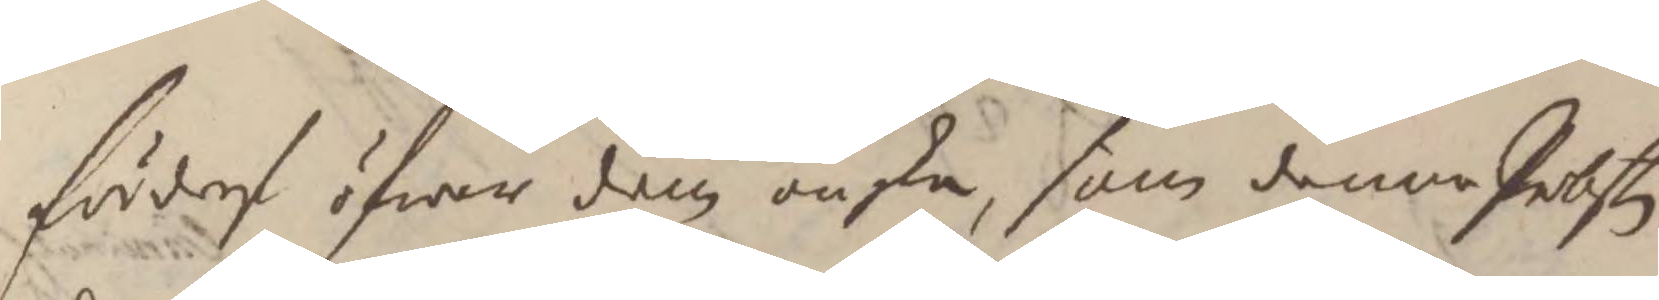förderf öfwer dem önska, som denna Probsten
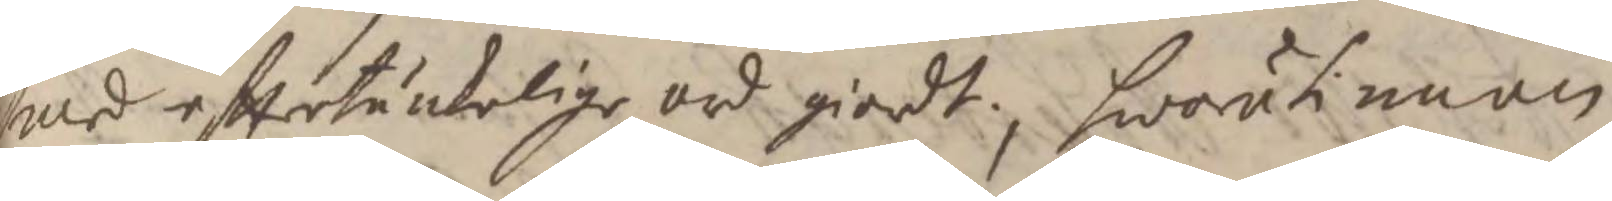med eftertänkelige ord giordt, hwarutinnan
